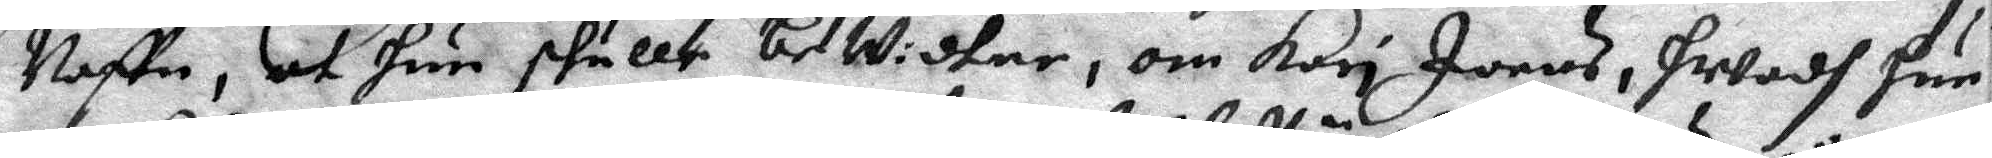Naftn, at hun skulle bewidtne, om Kari Joens, hwadh hun
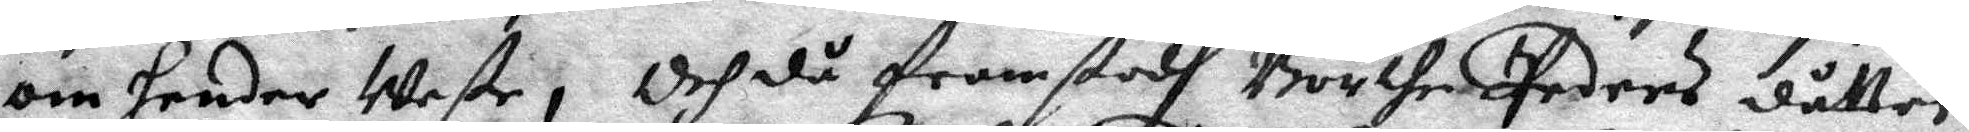om hender Weste; Och då framstodh Börthe Peders dåtter
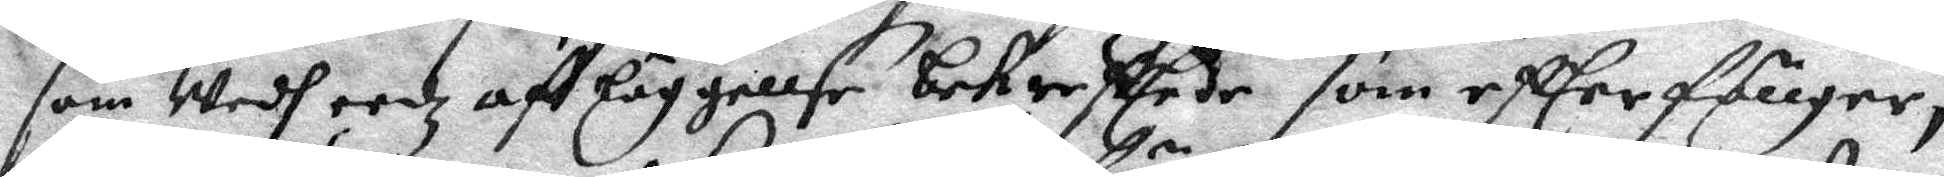som wedh eedz af läggellse bekreftede som effter föllger, 
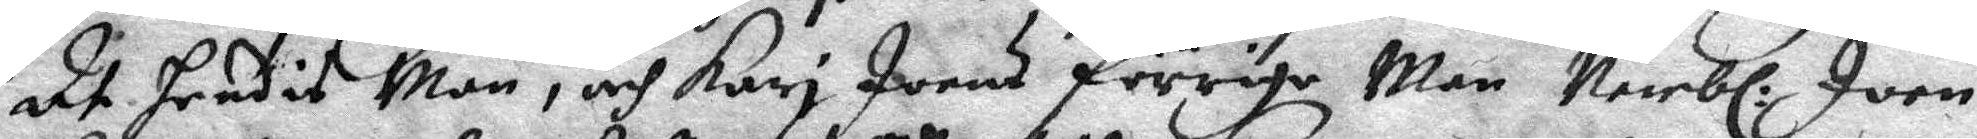at hendis Man, och Kari Joens förriga Man, Nembl. Joen 
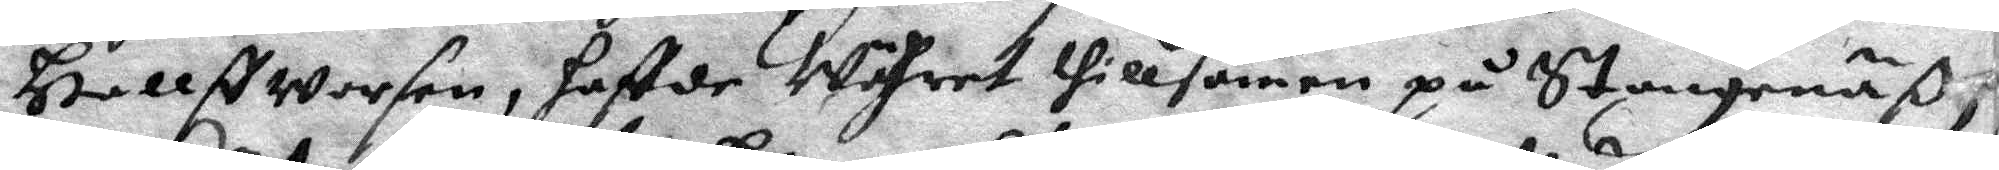Hallffworsen, haffde Währet thillsamen på Stongenäß,
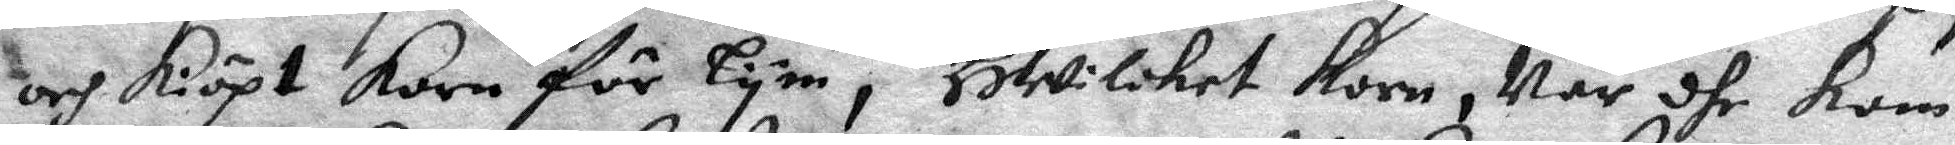och kiöpt korn för lym, Hwilcket korn, När dhe kom
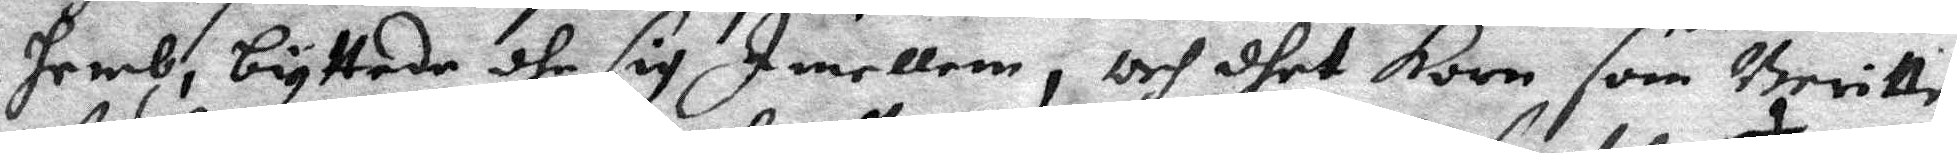hemb, byttade dhe sig Imellem, och dhet Korn som Beritte
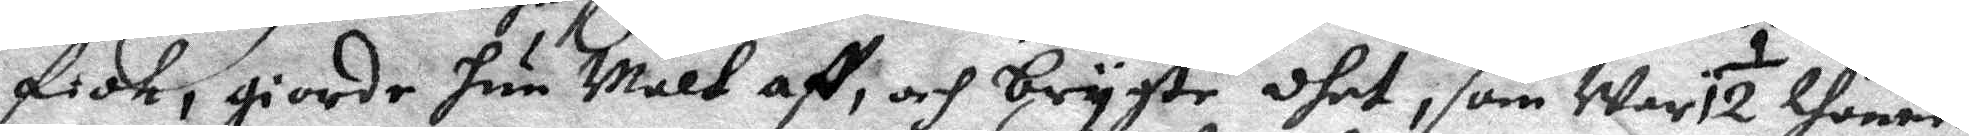fick, giorde hun Malt aff; och brygte dhet, som war 1 ½ thunne
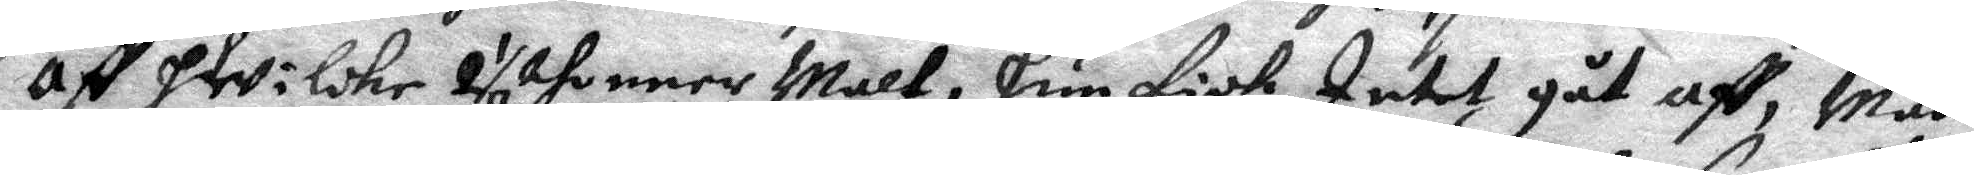aff hwilcke 2 ½ thunner Malt, hun fick Intet gåt aff, Män
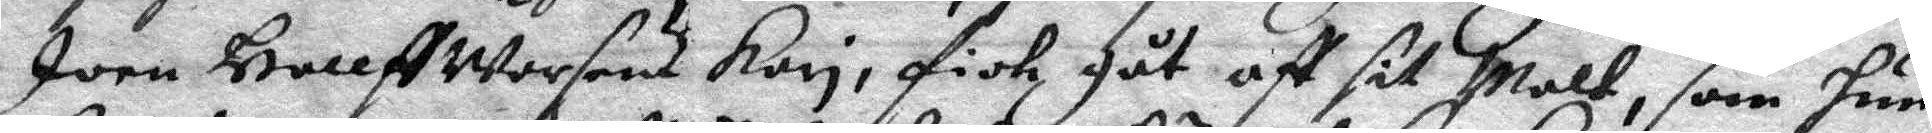Joen Hallf Worsens Kari, fick gåt aff sit Malt, som hun
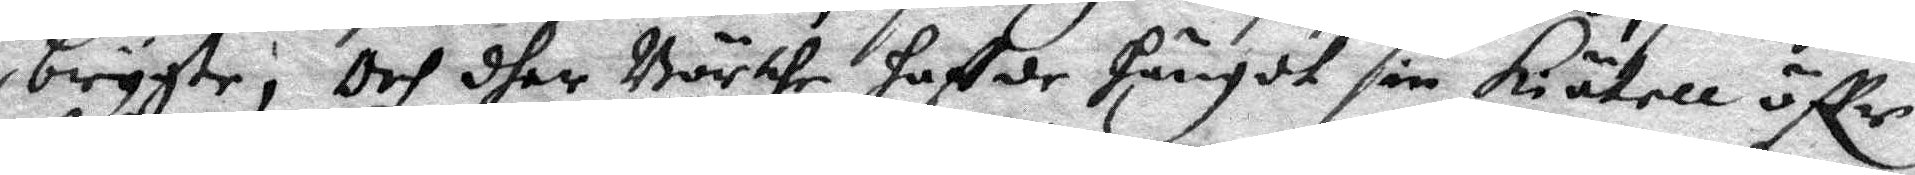brygte; Och dher Börthe haffde hängdt sin kiätell öffr
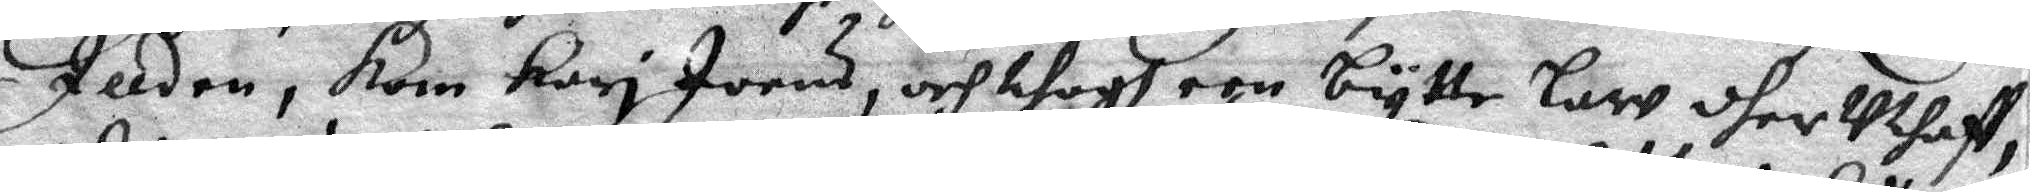Illden, kom Kari Joens, och thogh een bytte law dher Uthaff,
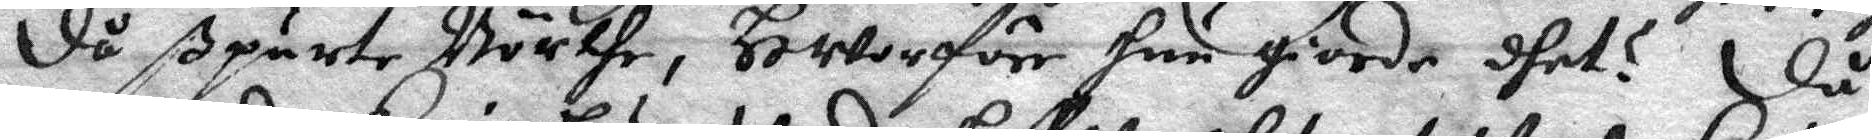då spurte Börthe, Hworföre hun giorde dhet? Då
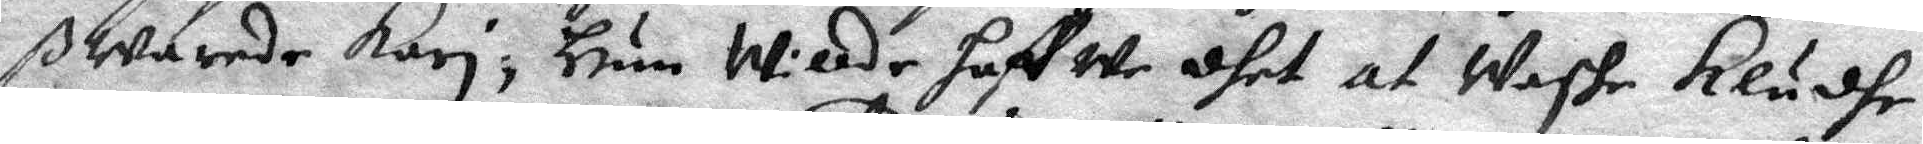ßwarade Kari, Hun willde haffwe dhet af Waske Klädhe
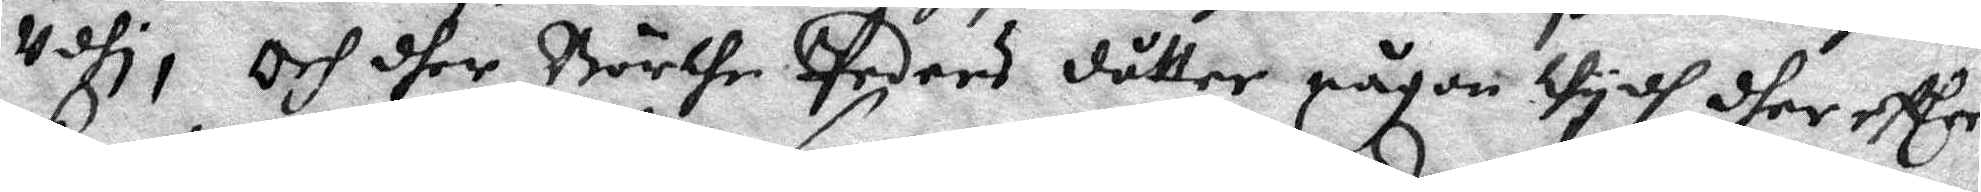Udhi, Och dher Börhe Peders dåtter någon tydh dher effter
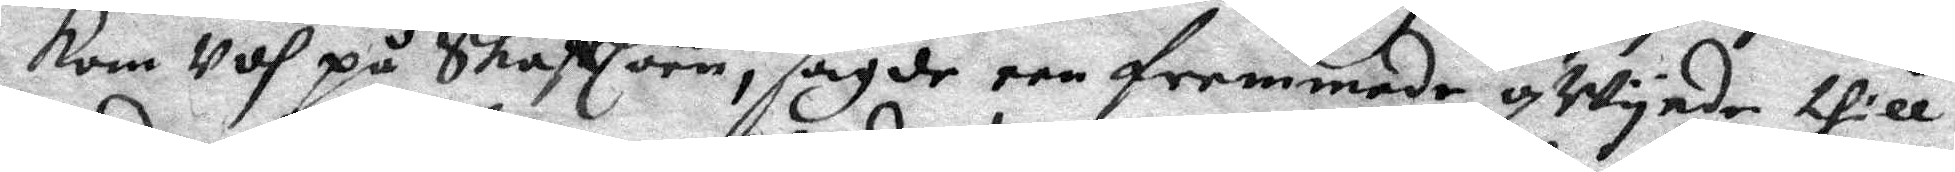kom Udh på Skafflöen, sagde een fremmade qwynde till
